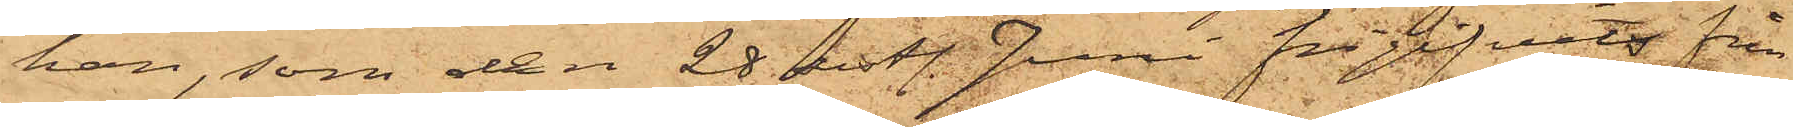han, som den 28 sist. Juni frigifvits från
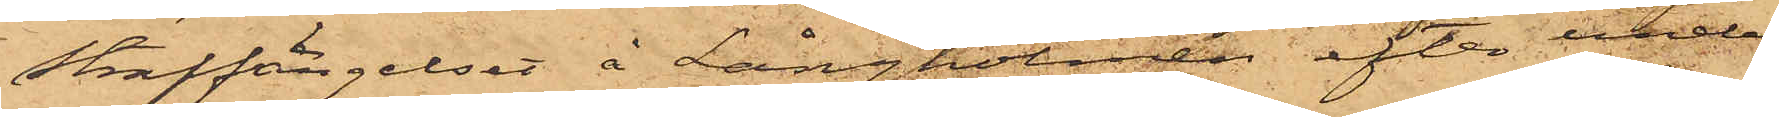Straffängelset å Långholmen efter under¬
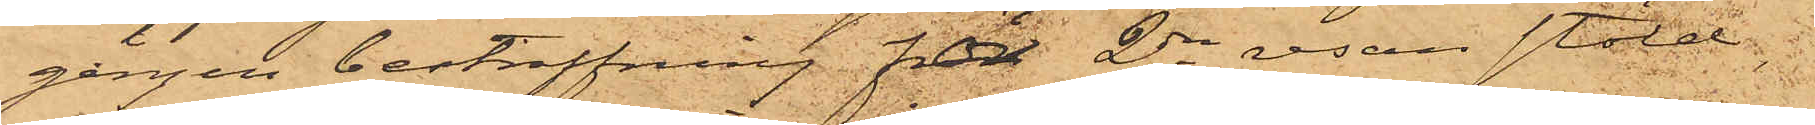gången bestraffning för 2dra resan stöld,
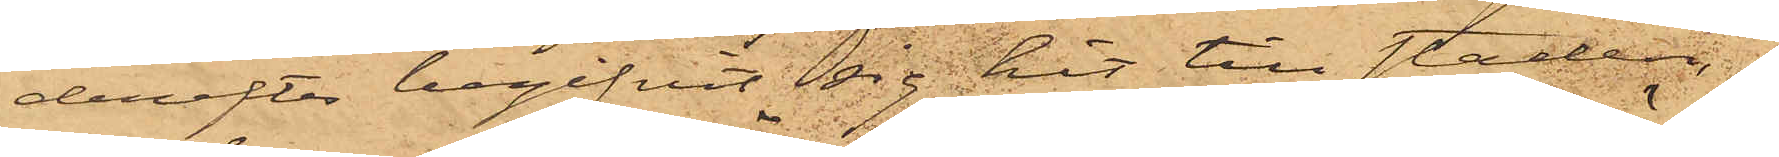derefter begifvit sig hit till staden
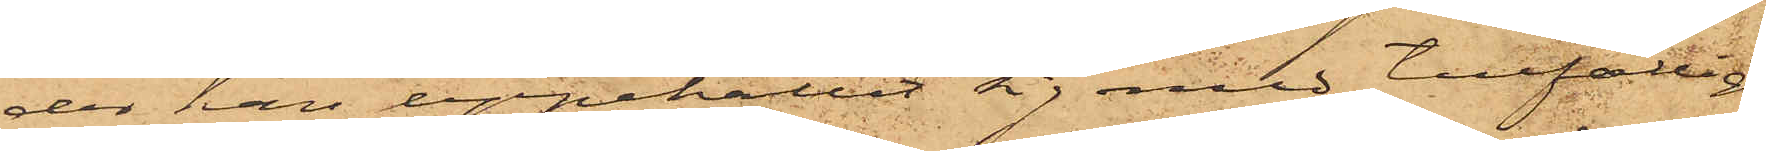der han uppehållit sig med tillfälligt
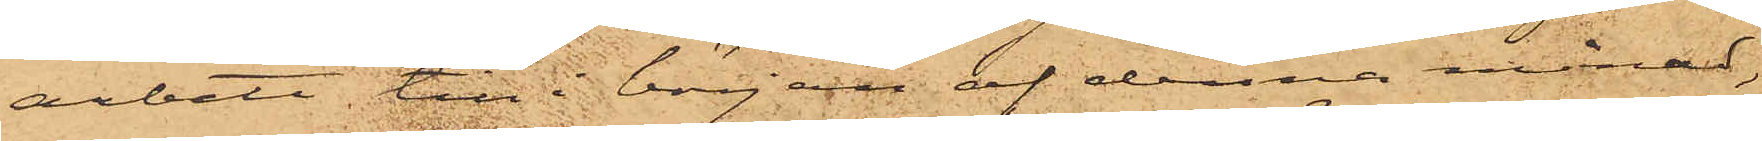arbete till i början af denna månad,
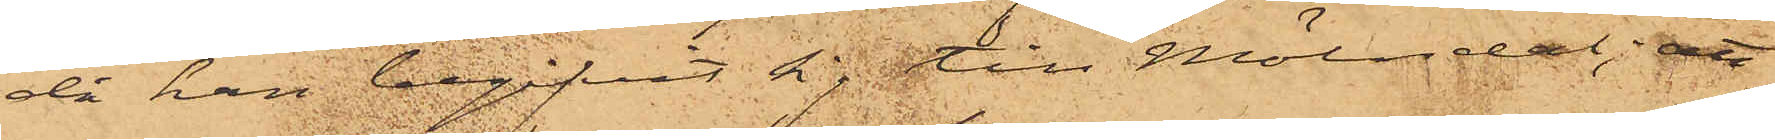då han, begifvit sig till Mölndal; att
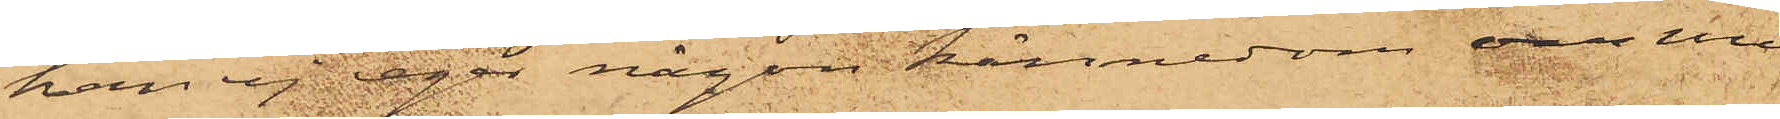 han ej eger någon kännedom om
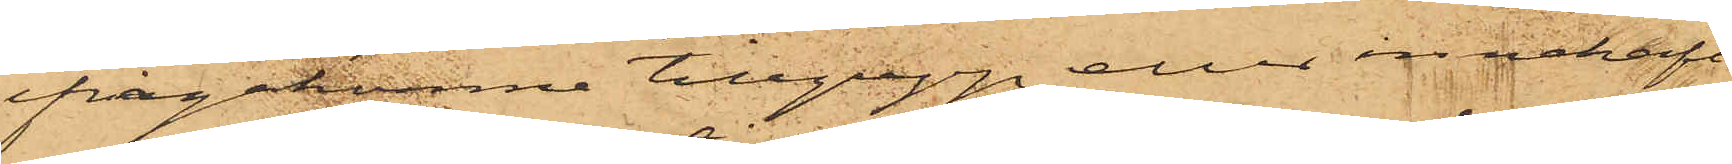ifrågakomne tillgrepp eller innehaft
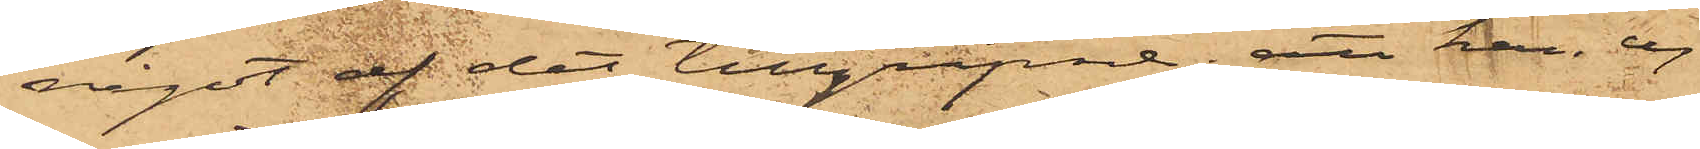något af det tillgripne; att han ej
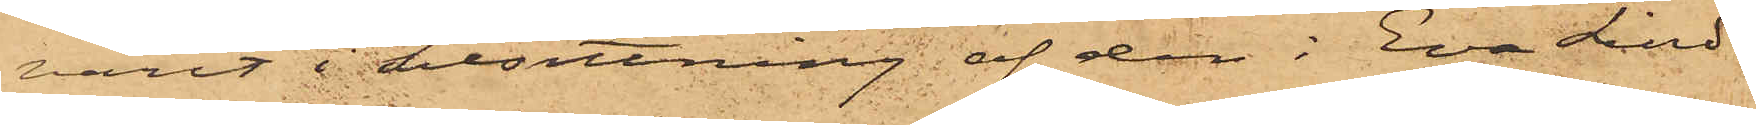varit i besittning af den i Eva Lind¬
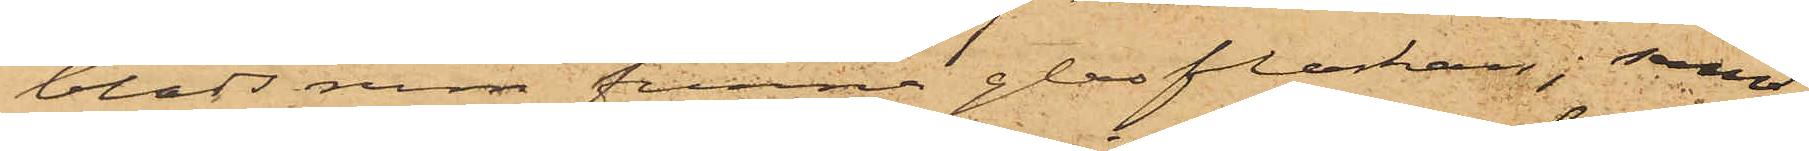blads rum funna glasflaskan; samt
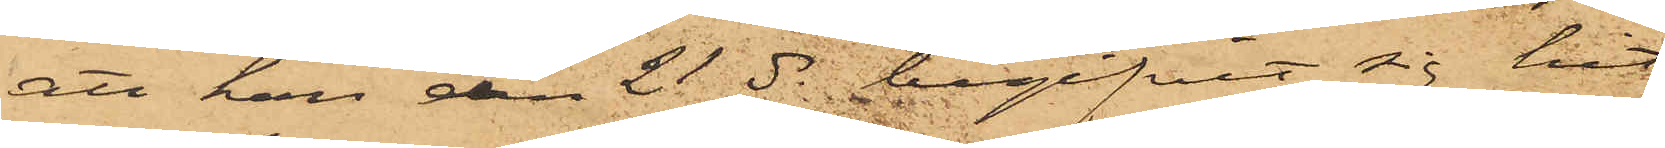att han den 21 ds begifvit sig hit
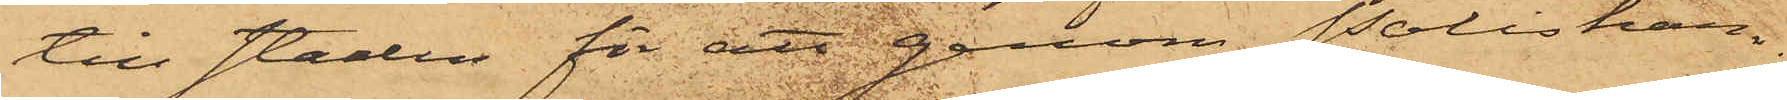till staden för att genom Poliskam¬
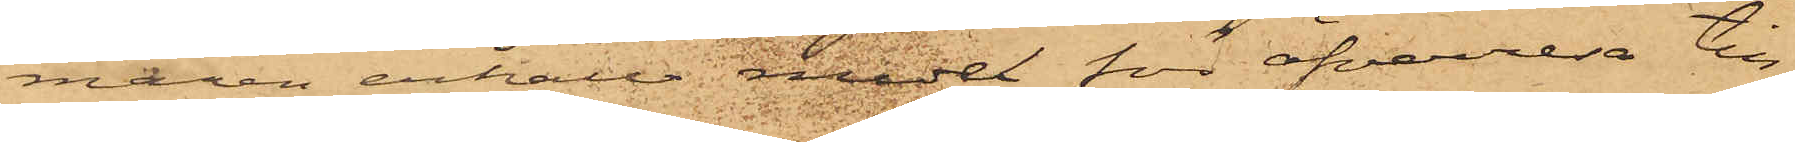maren erhålla medel för öfverresa till
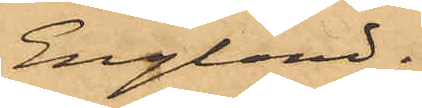England.
